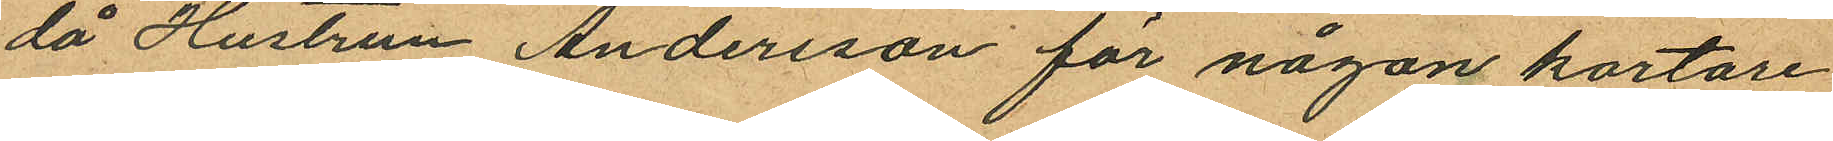då Hustrun Andersson för någon kortare
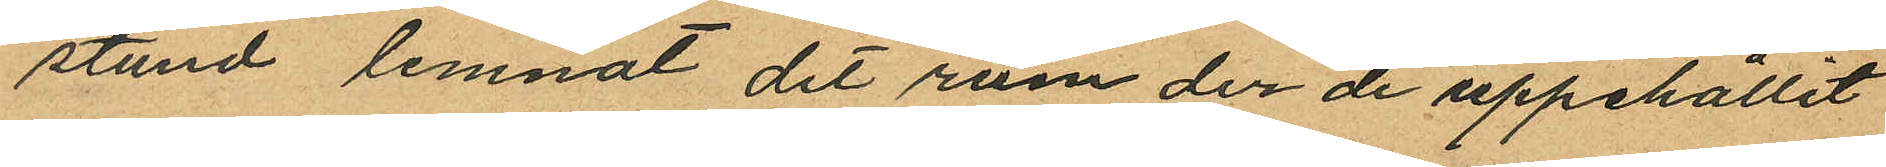stund lemnat dit rum der de uppehållit
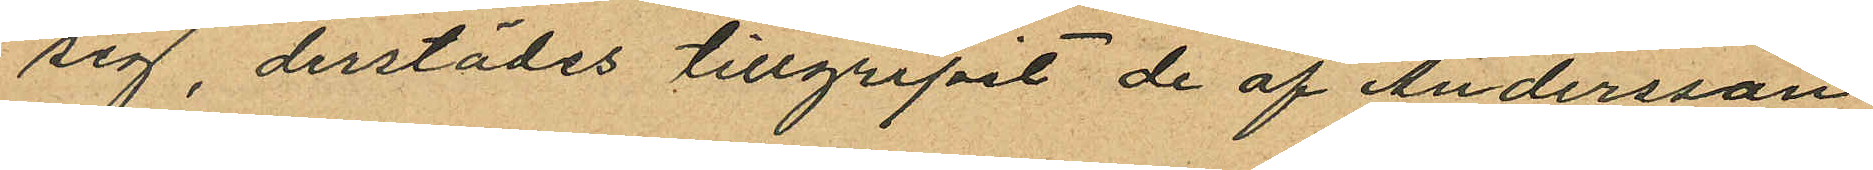sig, derstädes tillgripit de af Andersson
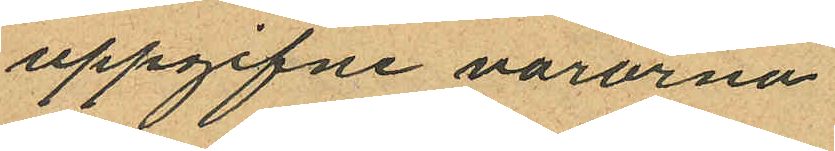uppgifne varorna.
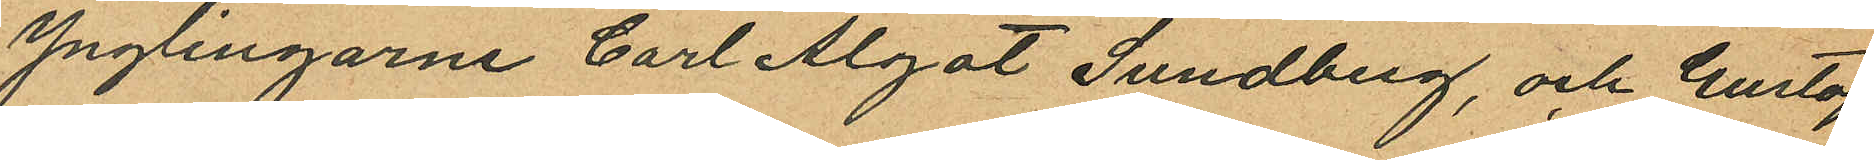Ynglingarne Carl Algot Sundberg, och Gustaf
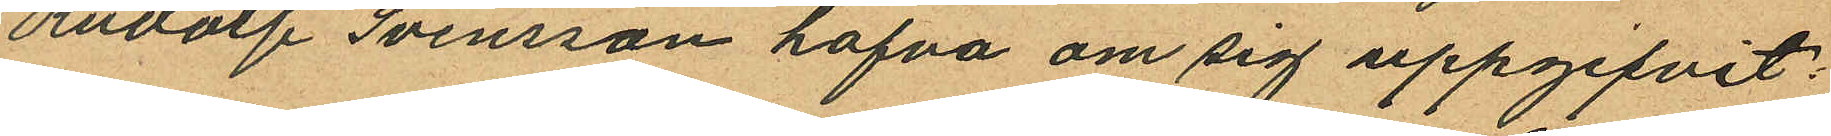Rudolf Svensson hafva om sig uppgifvit:
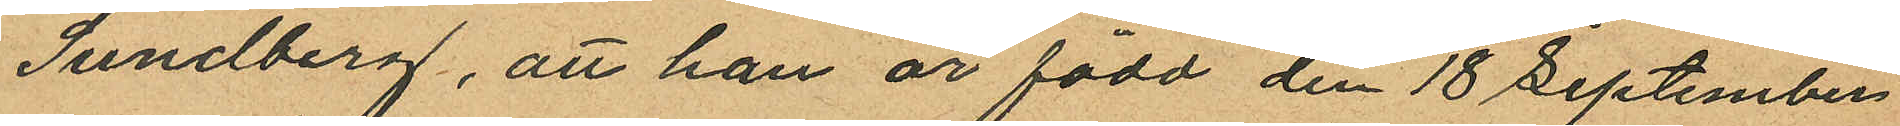Sundberg, att han är född den 18 September
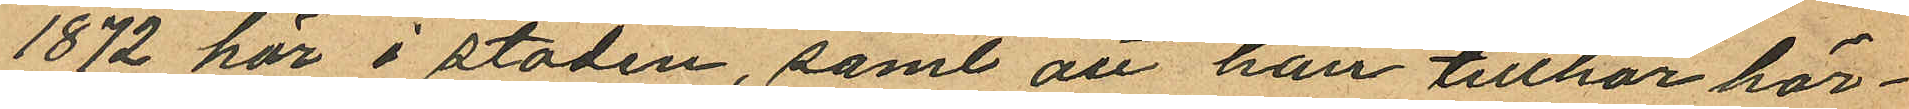1872 här i staden, samt att han tillhör här¬
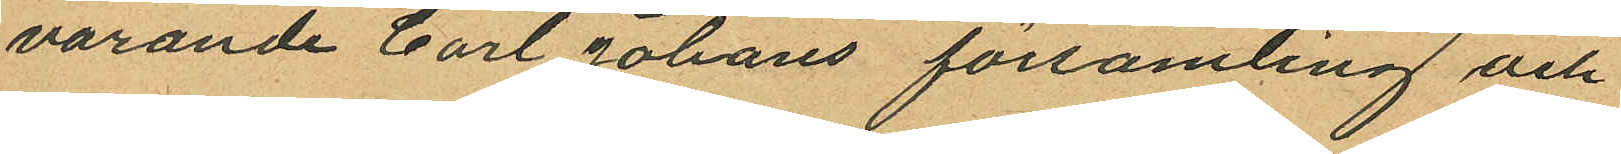varande Carl Johans församling och
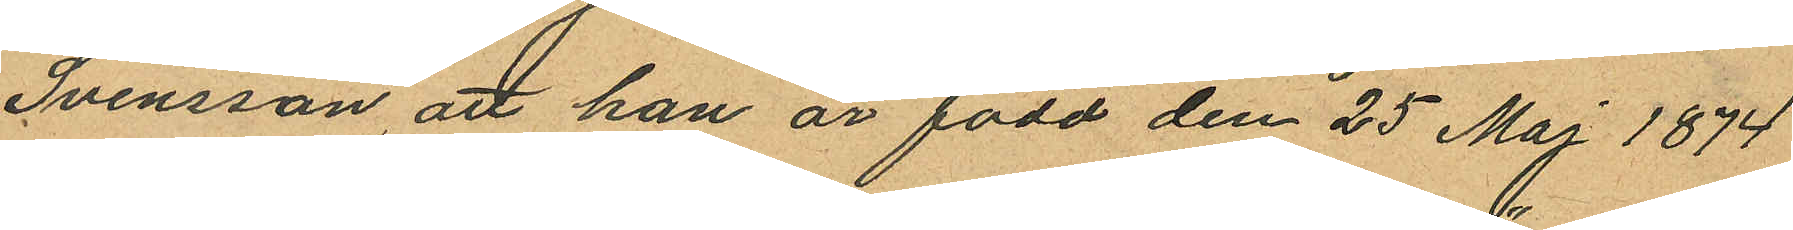Svensson, att han är född den 25 Maj 1874
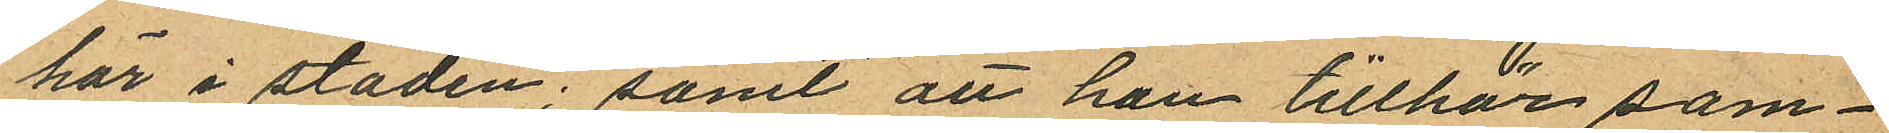här i staden; samt att han tillhör sam¬
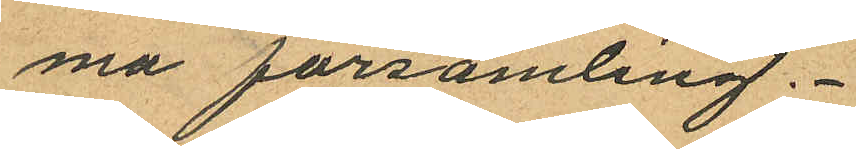ma församling.
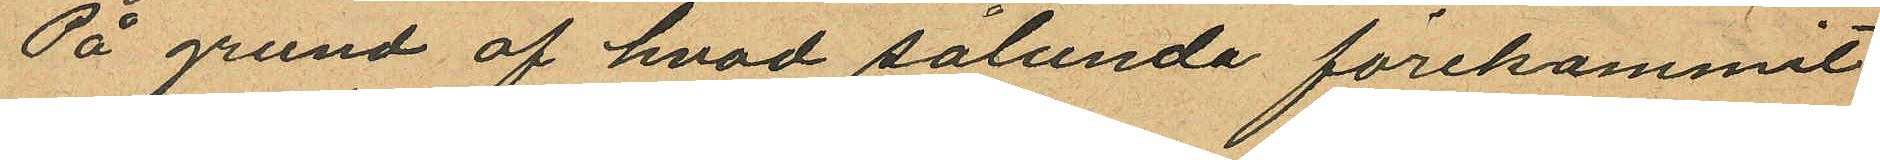På grund af hvad sålunda förekommit
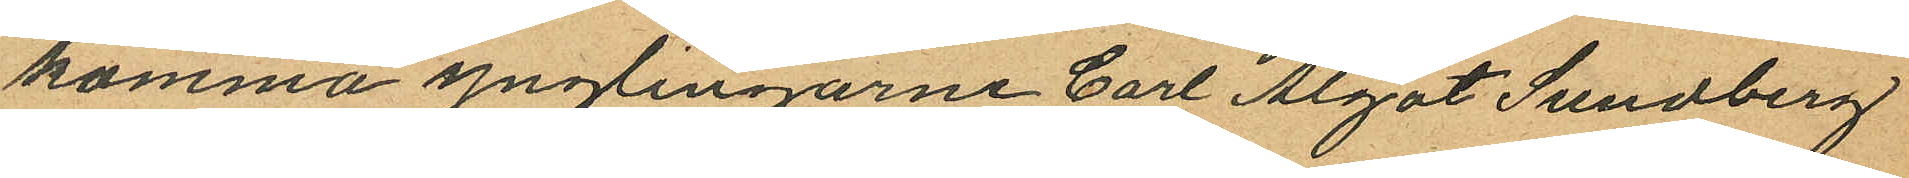komma ynglingarne Carl Algot Sundberg
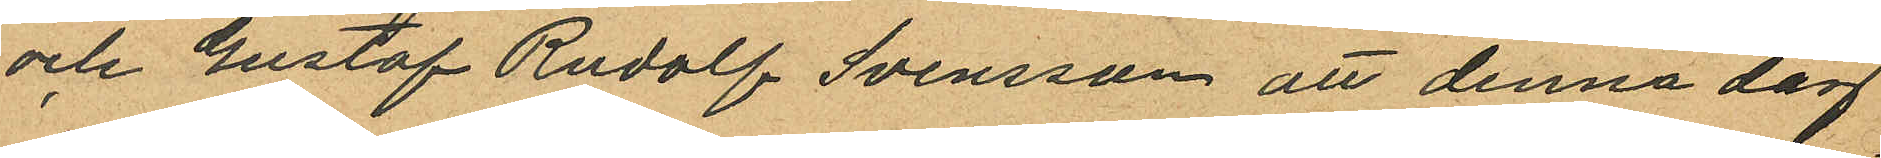och Gustaf Rudolf Svensson att denna dag
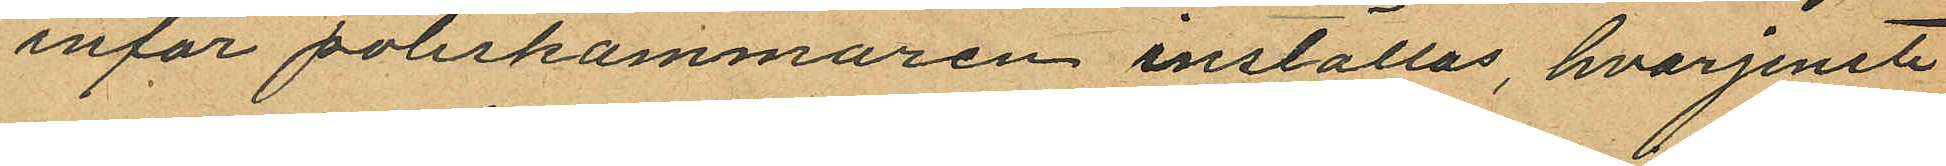inför poliskammaren inställas, hvarjemte
